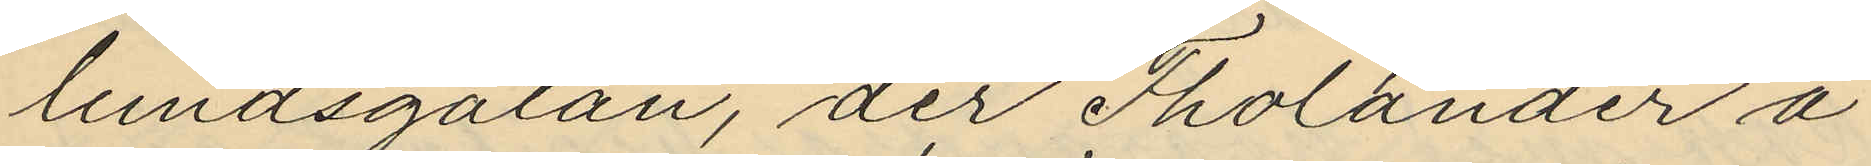lundsgatan, der Tholander å
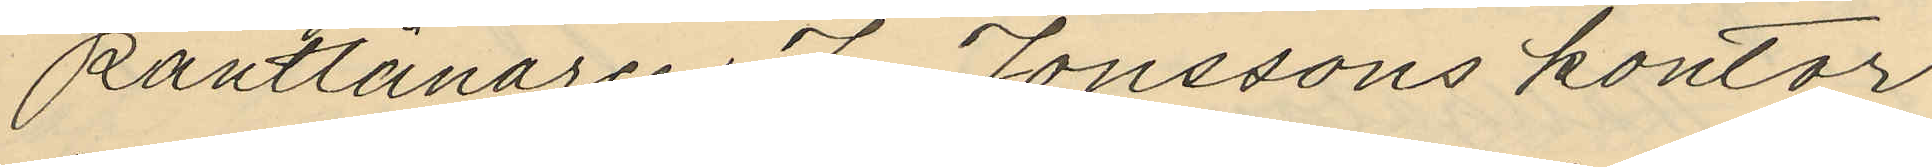Pantlånaren J. Jonssons kontor
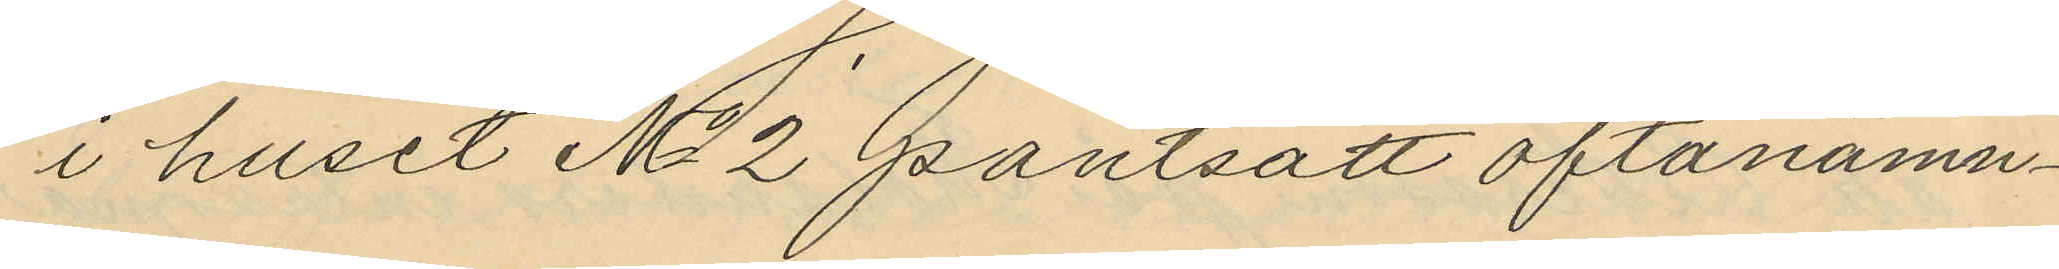i huset No 2 pantsatt oftanämn¬
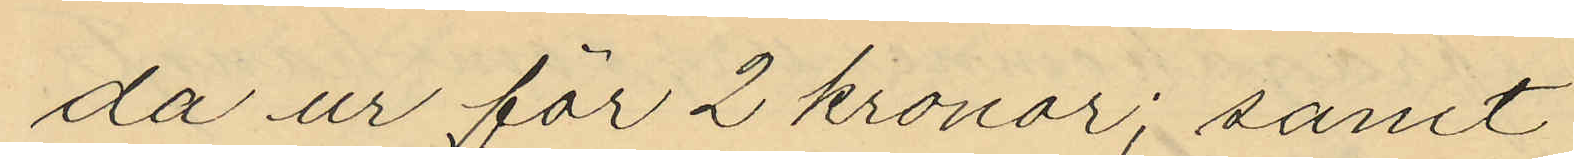da ur för 2 kronor; samt
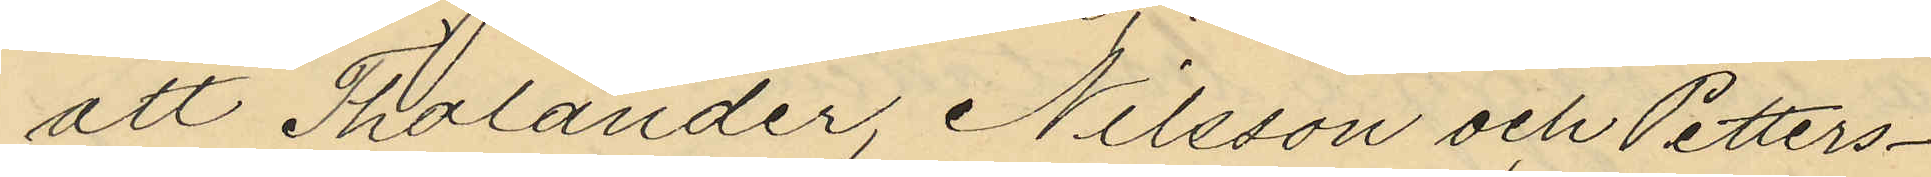att Tholander, Nilsson och Petters¬
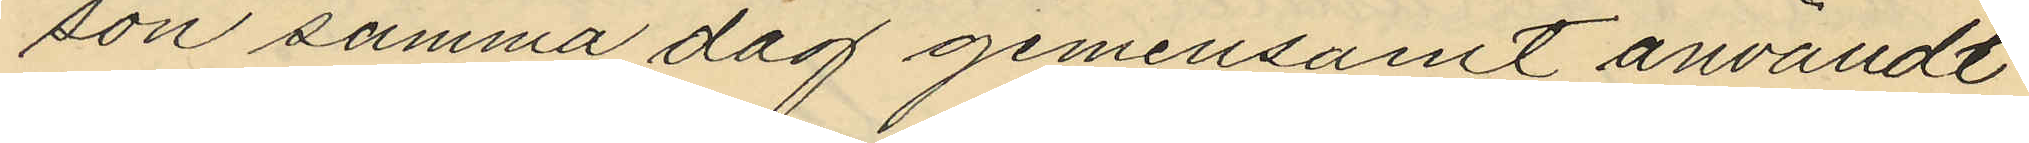son samma dag gemensamt användt
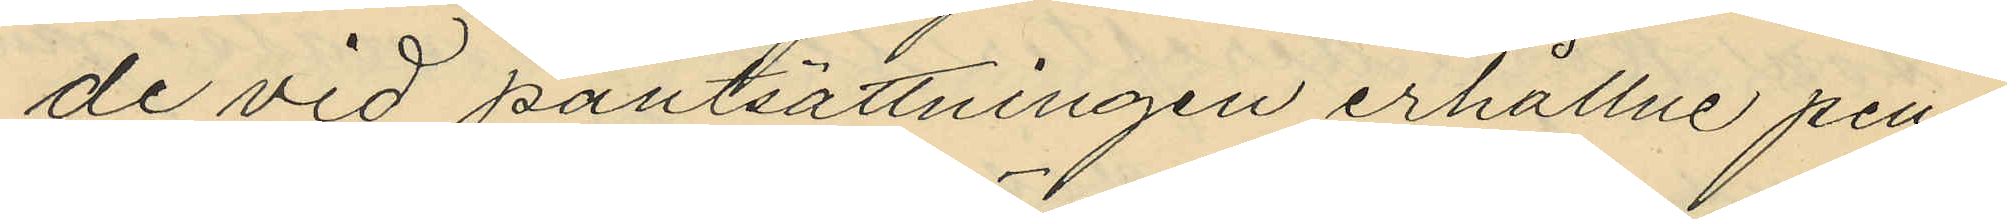de vid pantsättningen erhållne pen¬
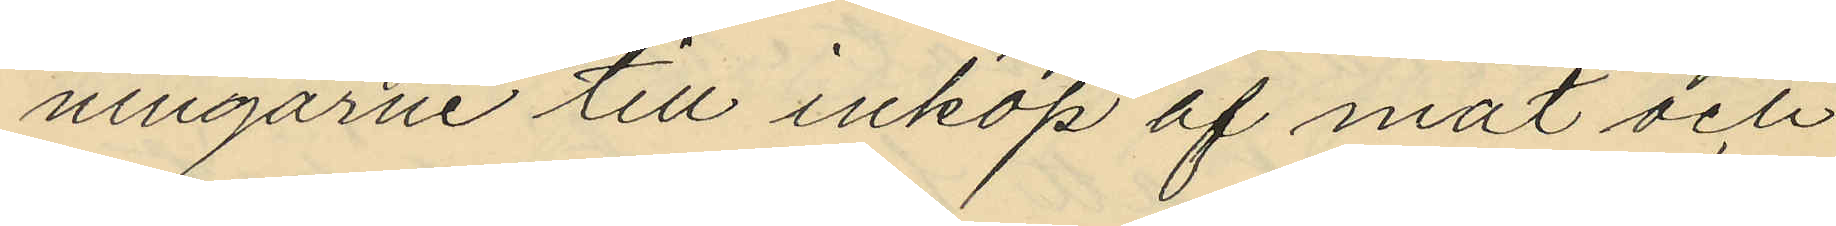ningarne till inköp af mat och
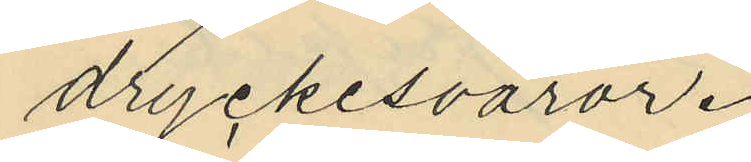dryckesvaror.
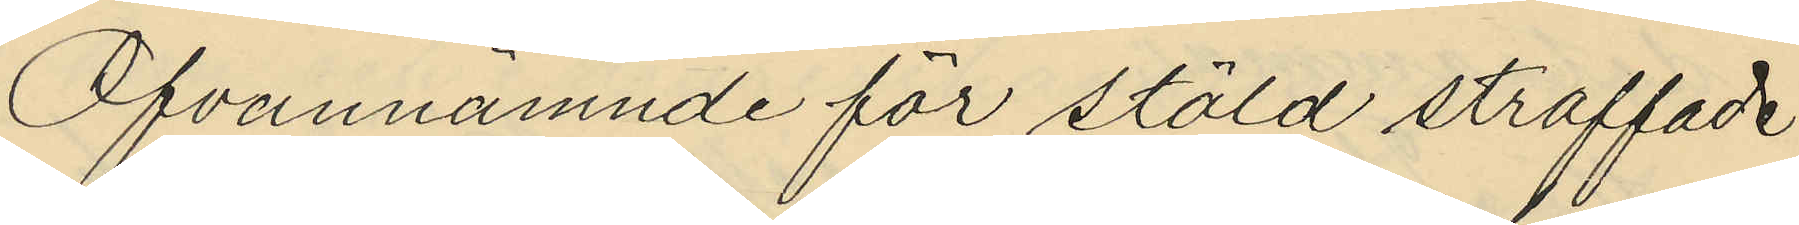Ofvannämnde för stöld straffade
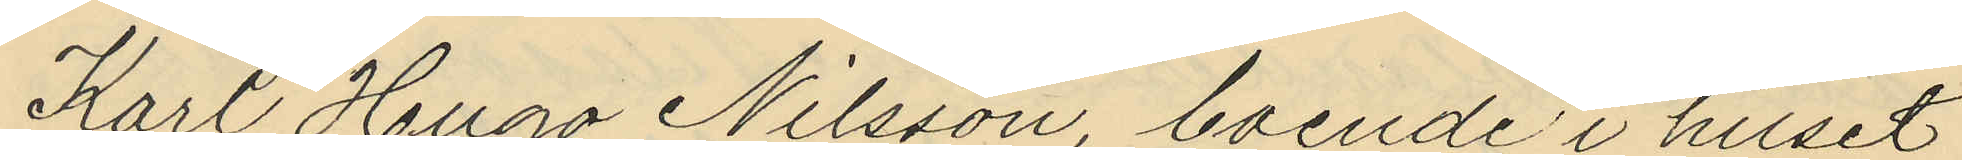Karl Hugo Nilsson boende i huset
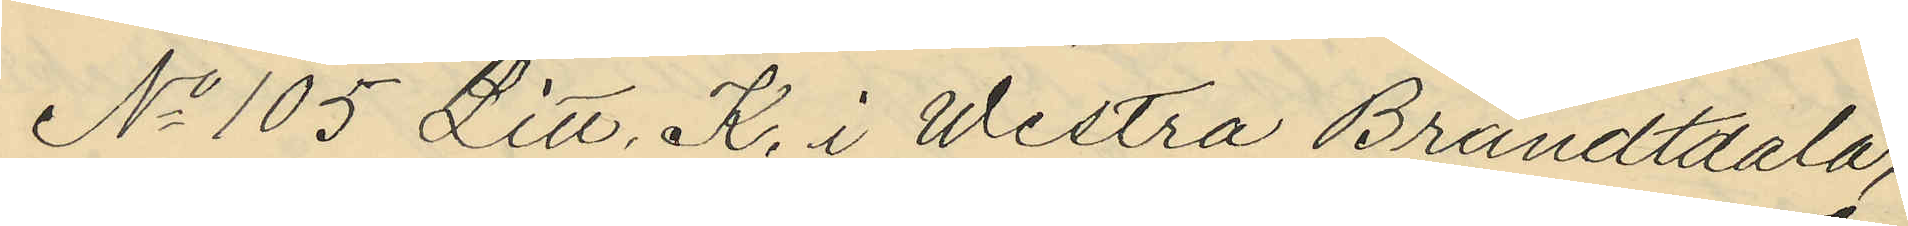No 105 Litt. K., i Westra Brandtdala,
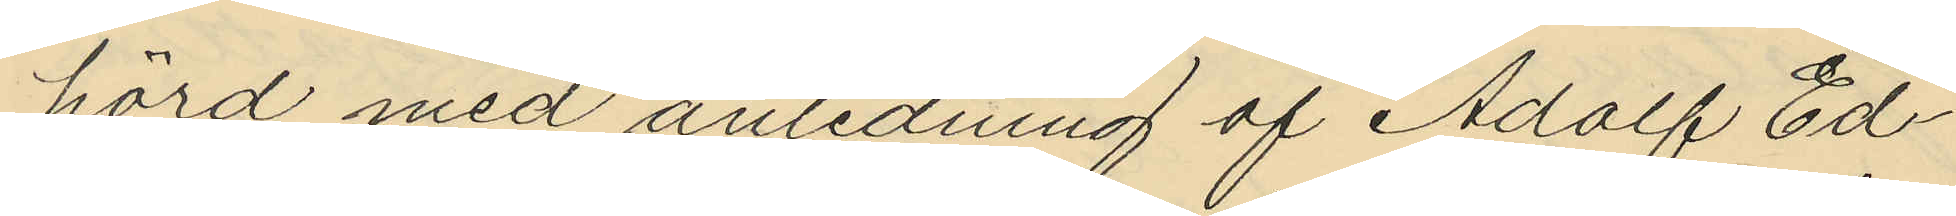hörd med anledning af Adolf Ed¬
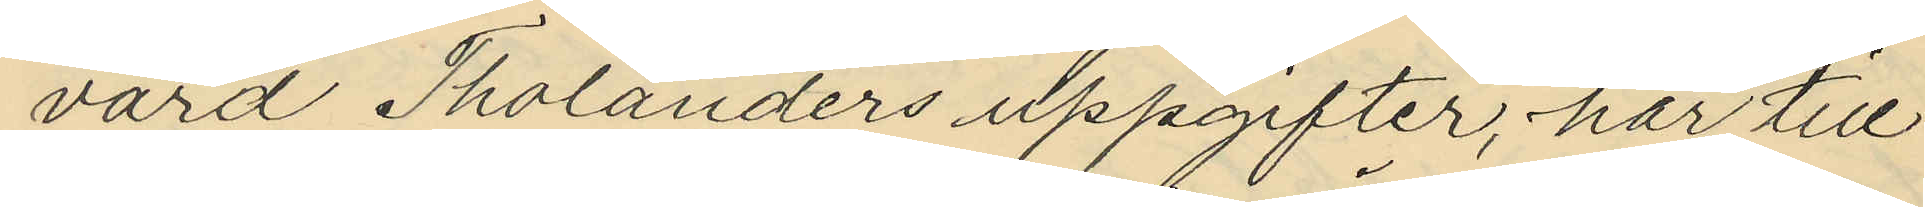vard Tholanders uppgifter, har till
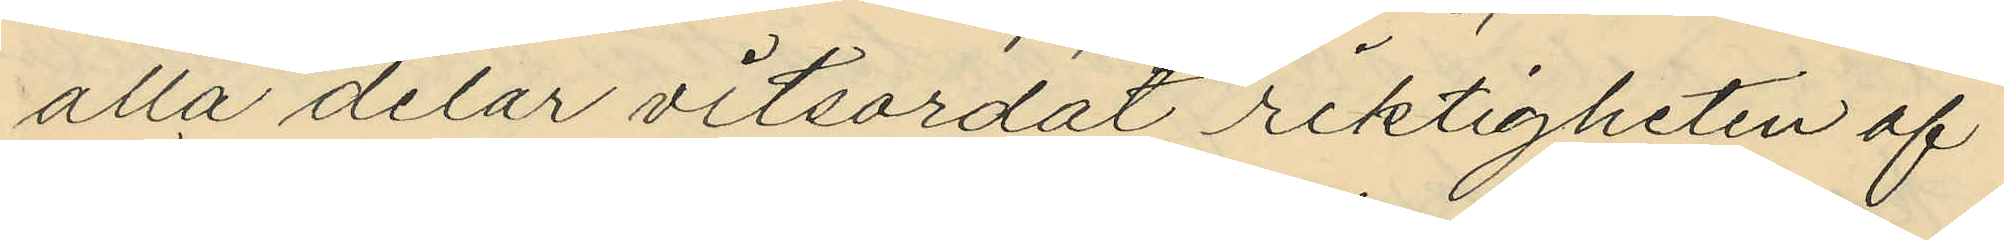alla delar vitsordat riktigheten af
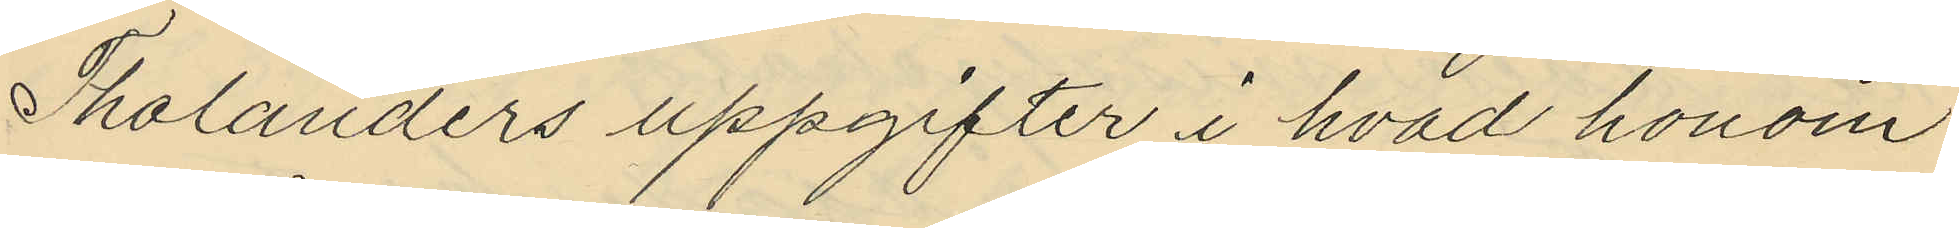Tholanders uppgifter i hvad honom
